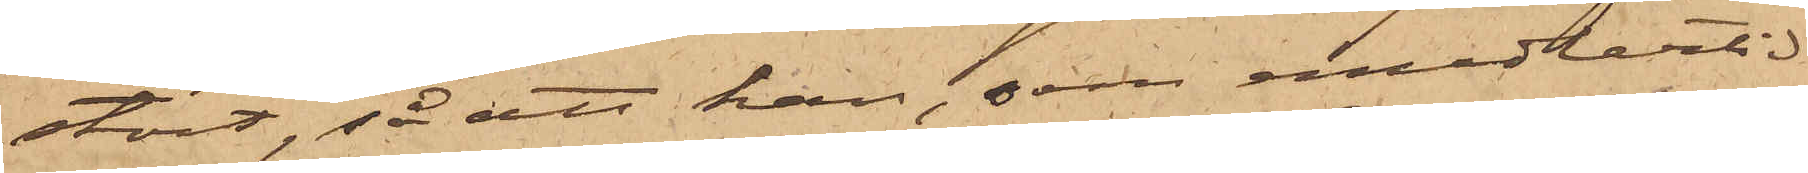stört, så att han, som emedlertid
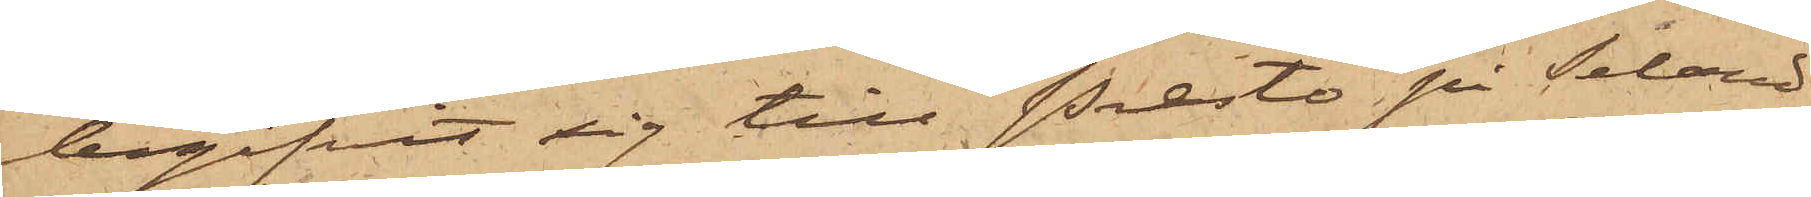begifvit sig till Prestö på Seland,
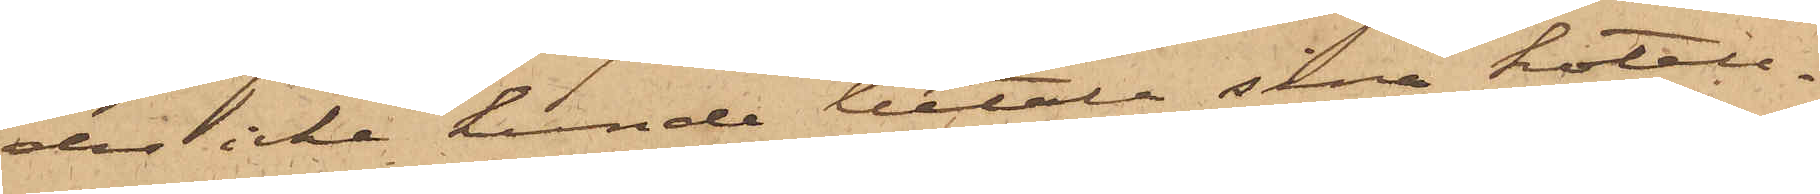der icke kunde betala sina hotell¬
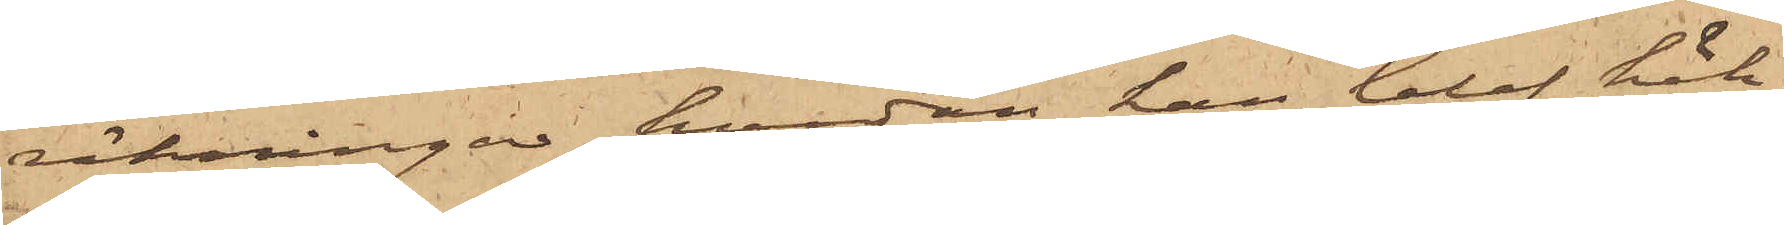räkningar, hvadan han blef häk¬
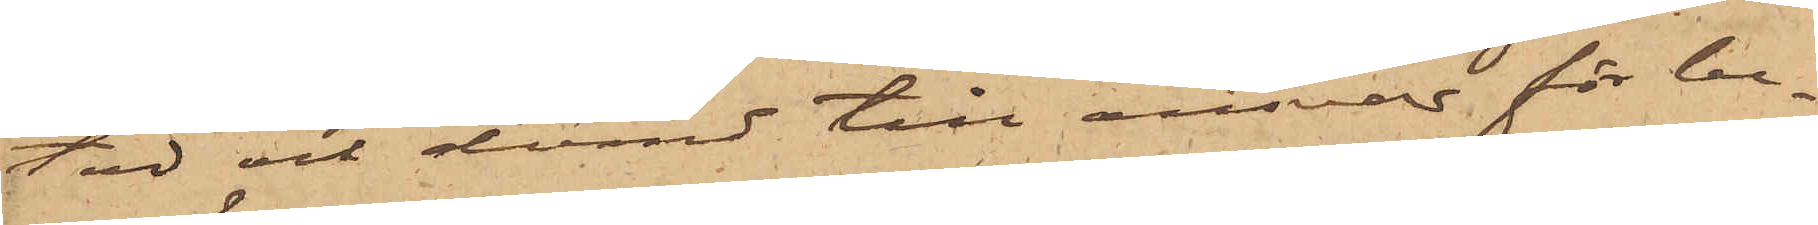tad och dömd till ansvar för be¬
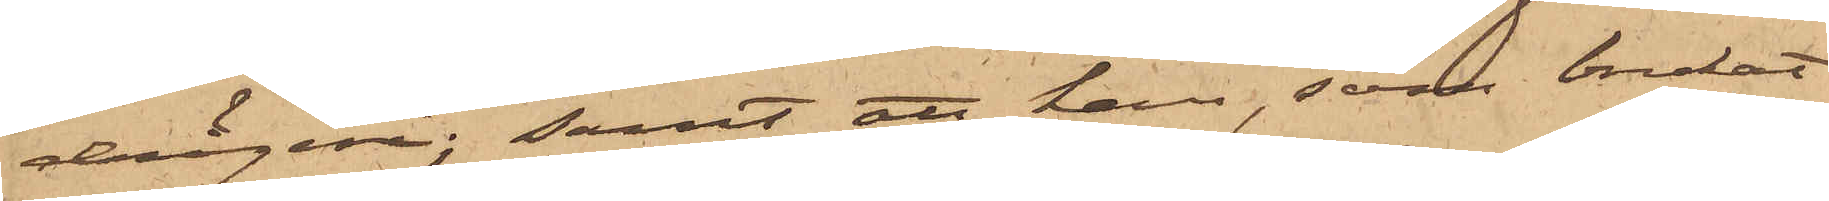drägeri; samt att han, som brukat
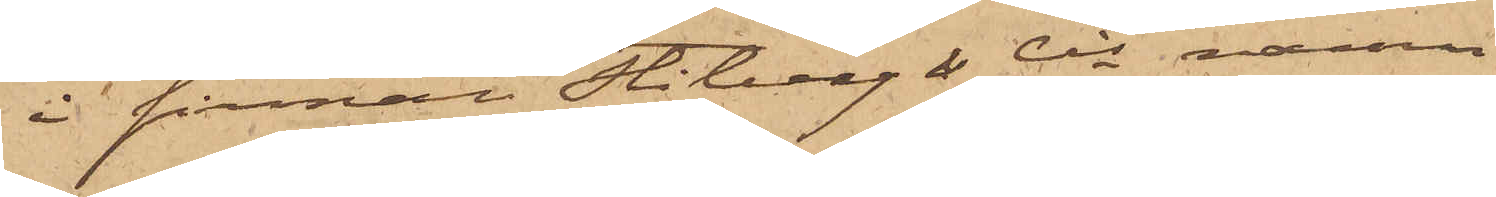i firman Stiberg & Cis namn
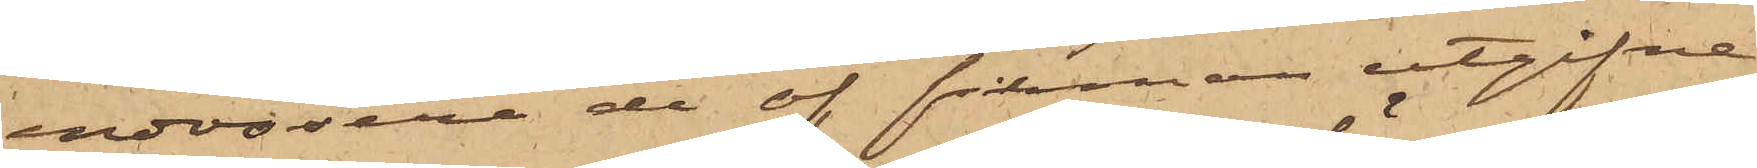endossera de af firman utgifne
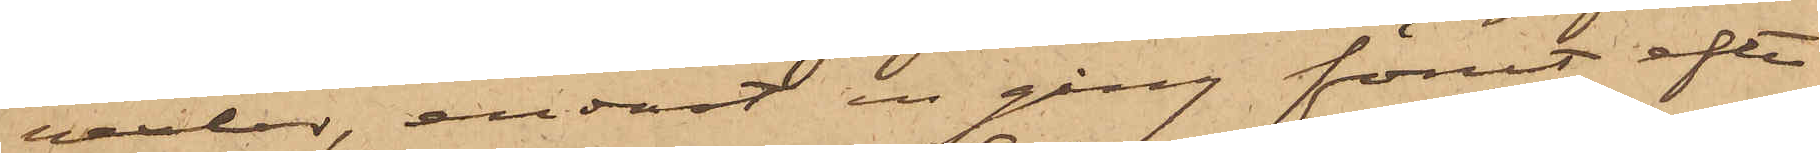vexlar, endast en gång förut efter
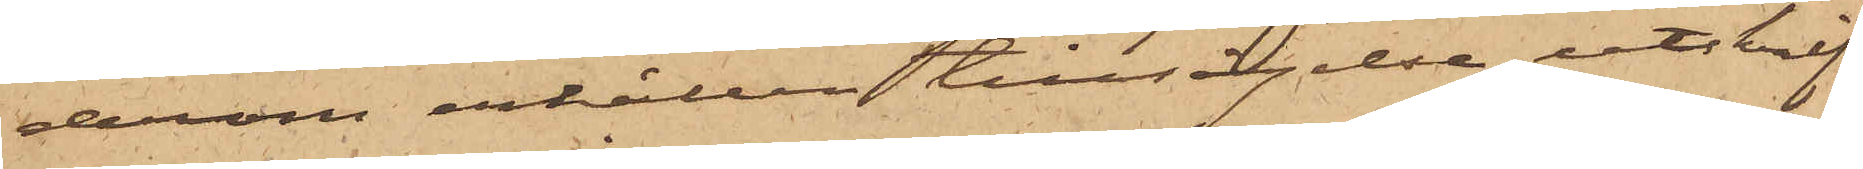derom erhållen tillsägelse, utskrif¬
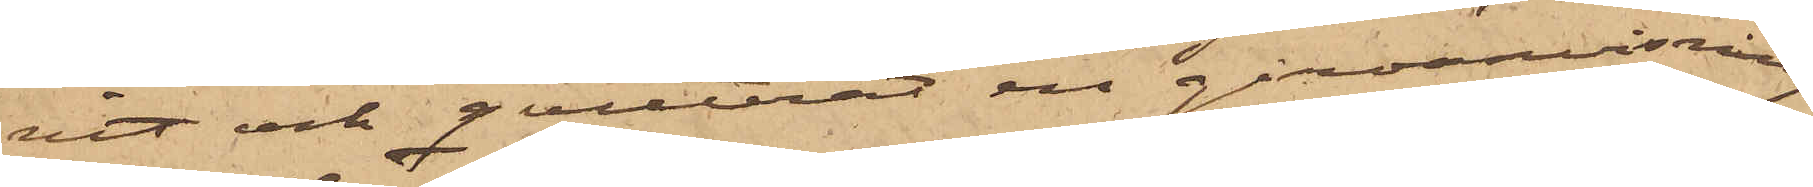vit och qvitterat en giroanvisning
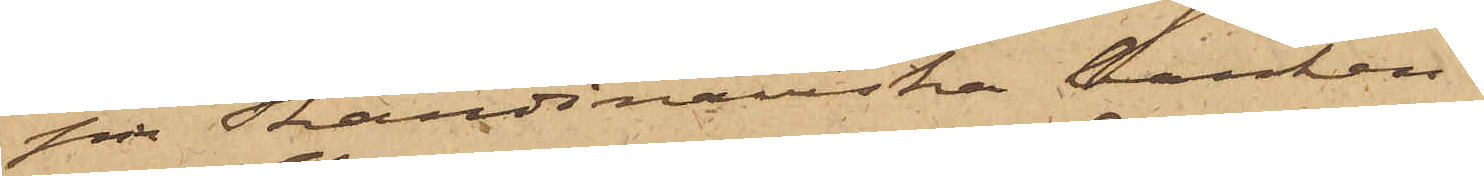på Skandinaviska banken.
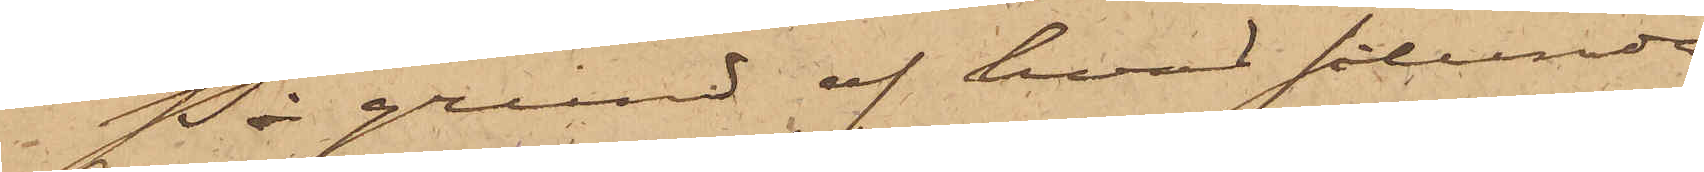På grund af hvad sålunda
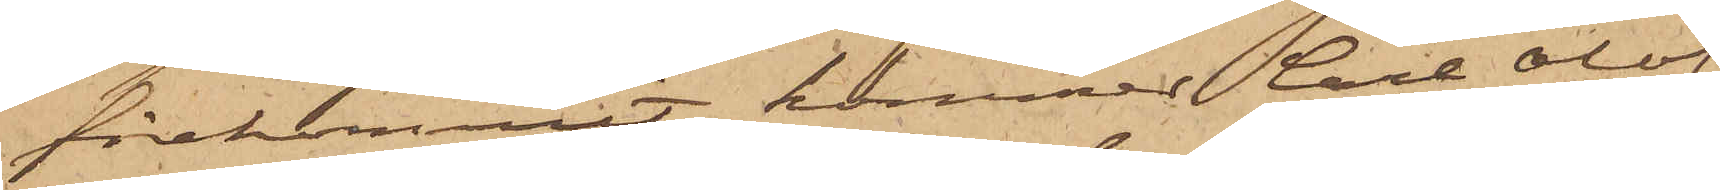förekommit, kommer Carl Olof
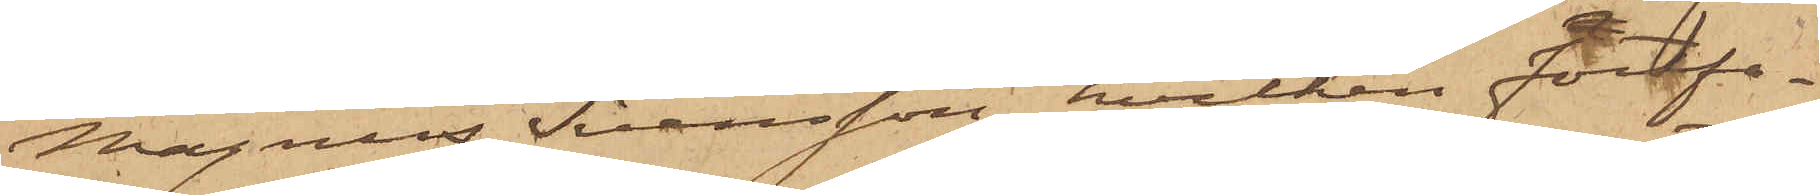Magnus Svensson, hvilken fortfa¬
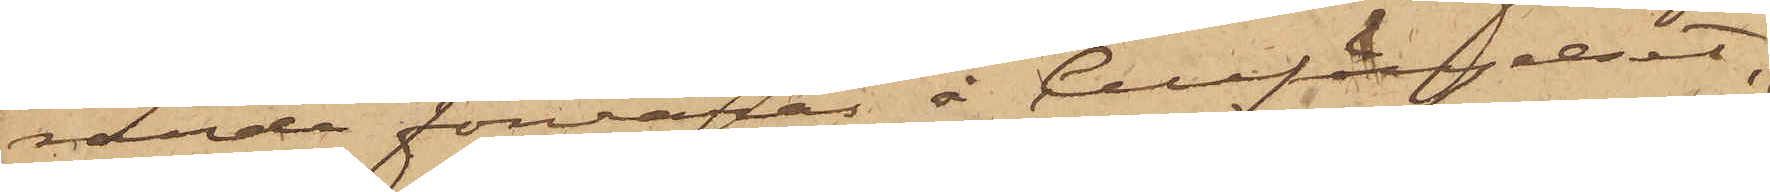rande förvaras å Cellfängelset,
